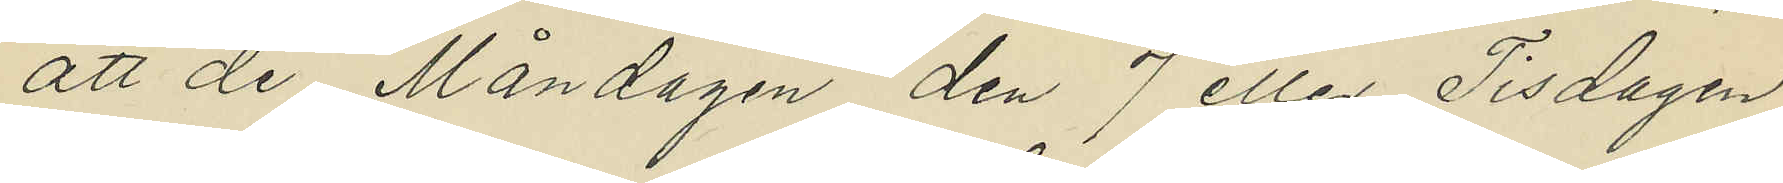att de Måndagen den 7 eller Tisdagen
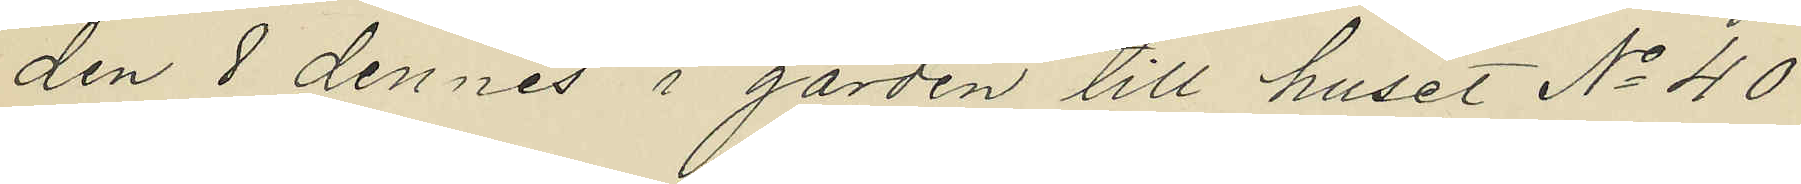den 8 dennes i gården till huset No 40
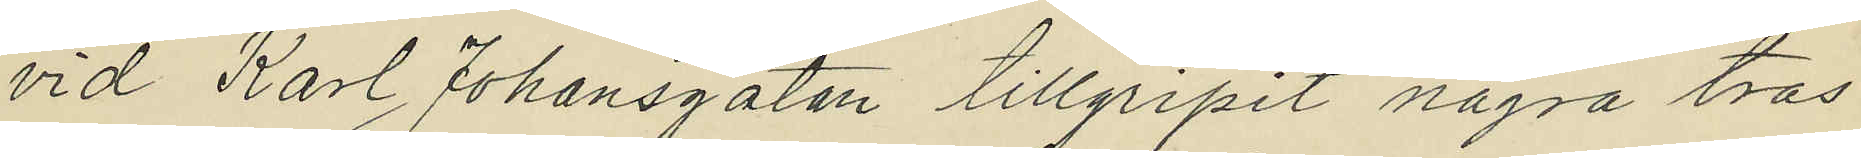vid Karl Johansgatan tillgripit några tras¬
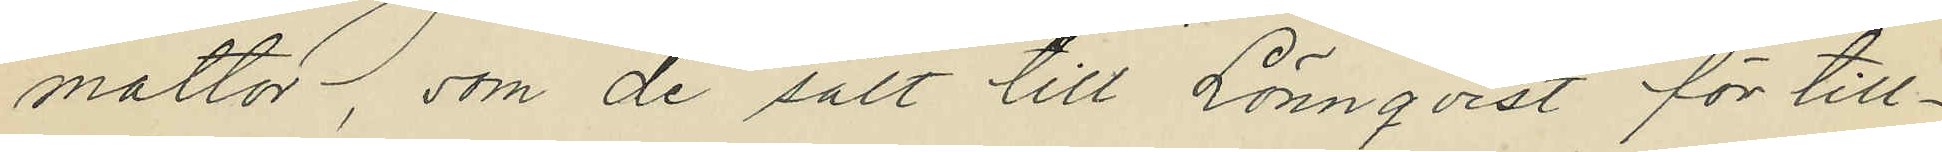mattor, som de sålt till Lönnqvist för till¬
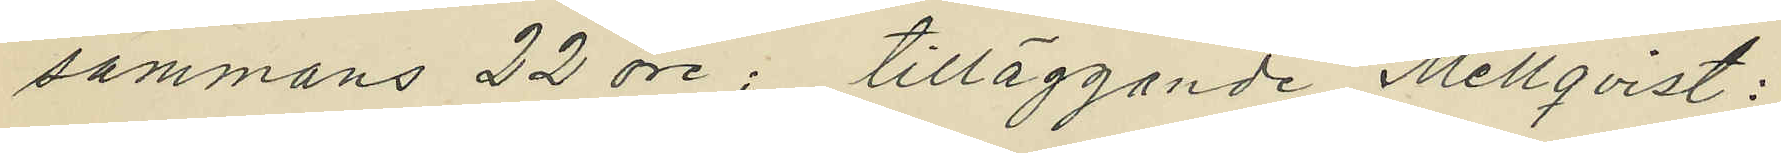sammans 22 öre; tilläggande Mellqvist:
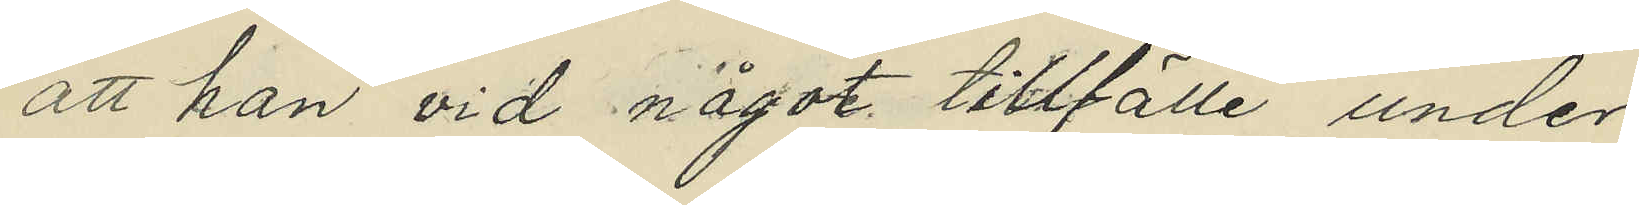att han vid något tillfälle under
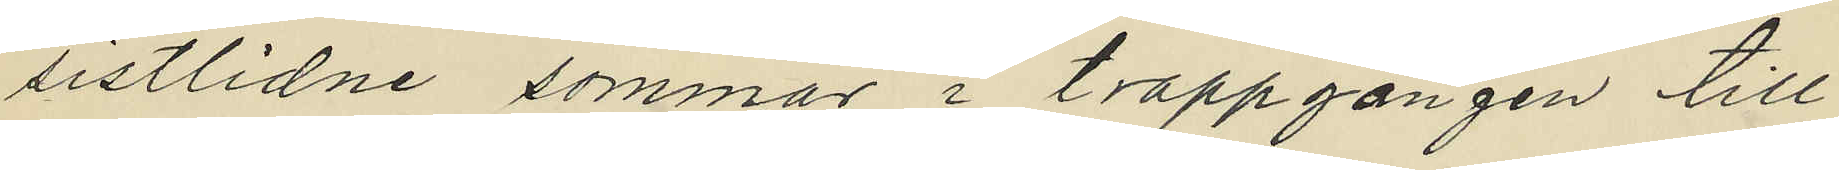sistlidne sommar i trappgången till
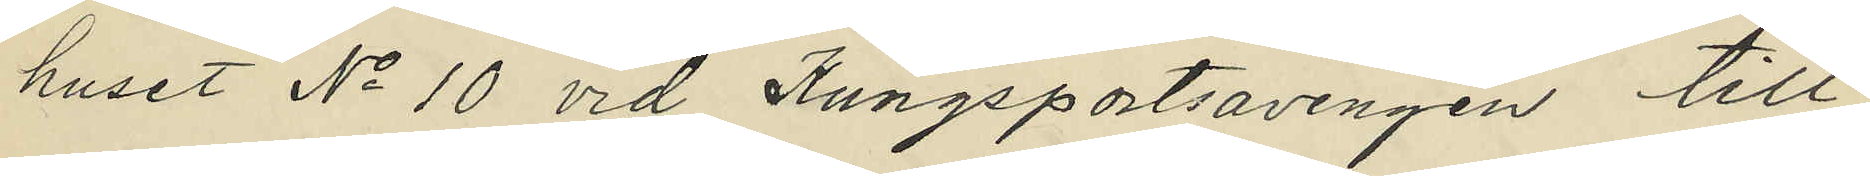huset No 10 vid Kungsportsavenyen till¬
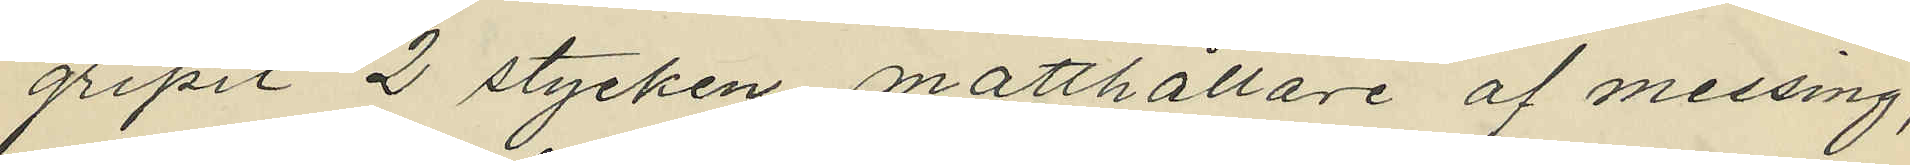gripit 2 stycken matthållare af messing,
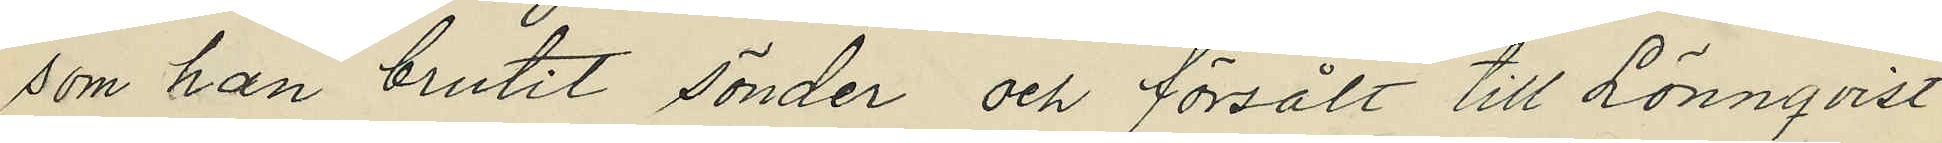som han brutit sönder och försålt till Lönnqvist
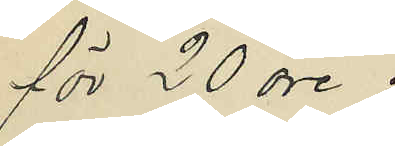för 20 öre;
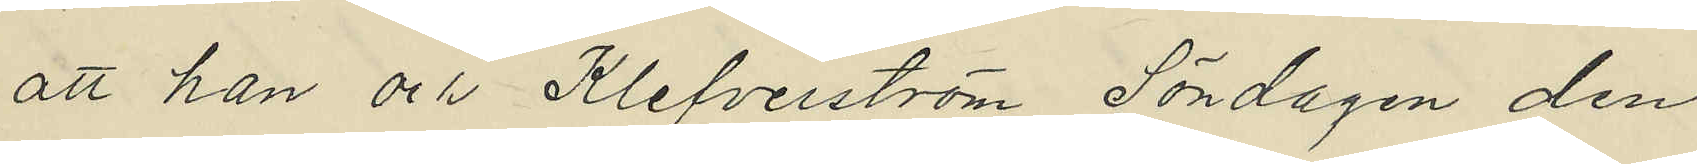att han och Klefverström Söndagen den
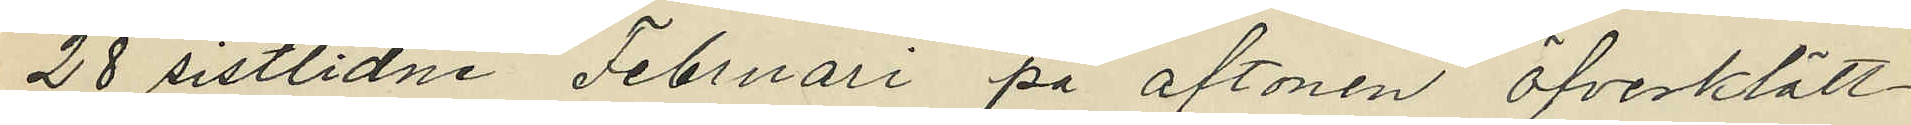28 sistlidne Februari på aftonen öfverklätt¬
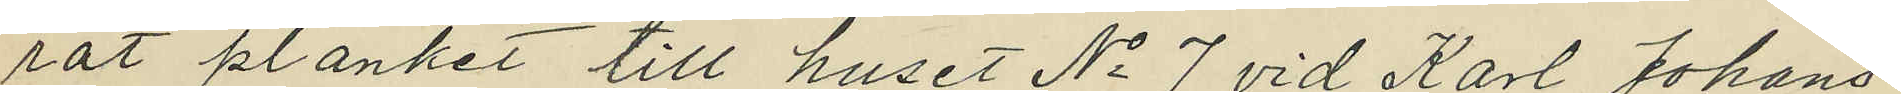rat planket till huset No 7 vid Karl Johans¬
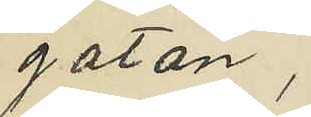gatan,
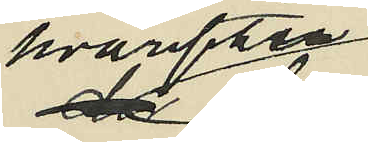hvarefter
